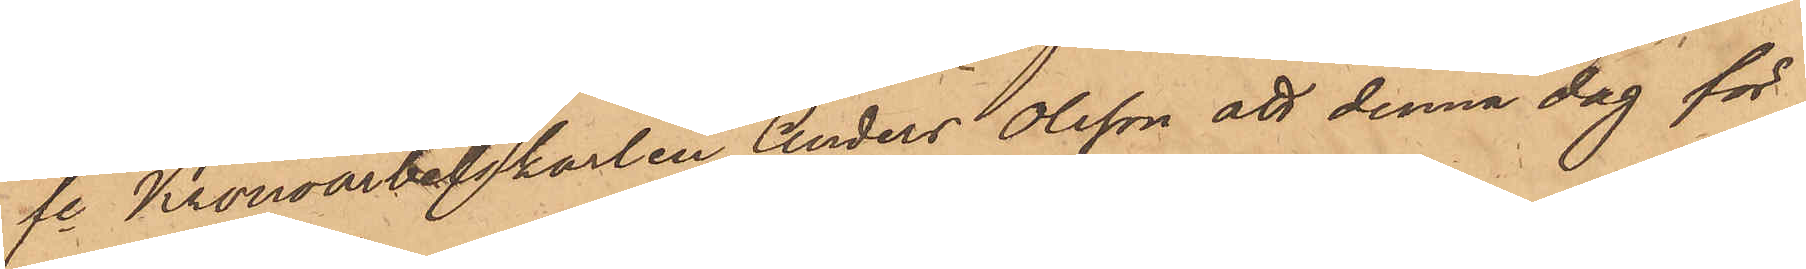fre Kronoarbetskarlen Anders Olsson att denna dag för
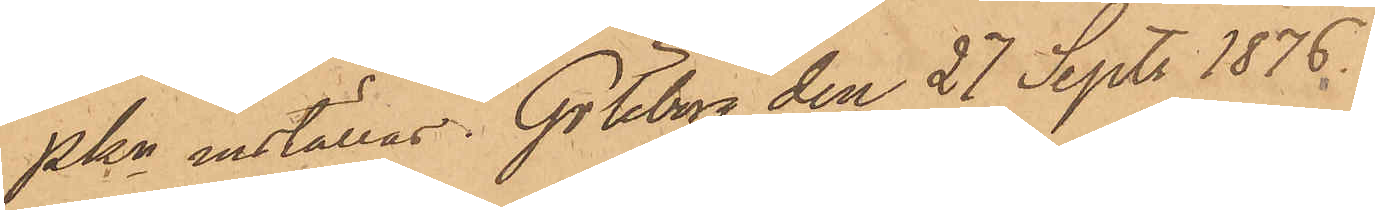PKn inställas. Göteborg den 27 Sept. 1876.
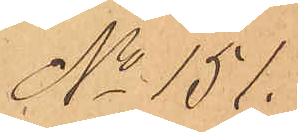No 151.
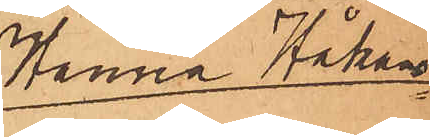Hanna Håkans¬
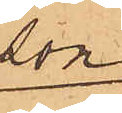son
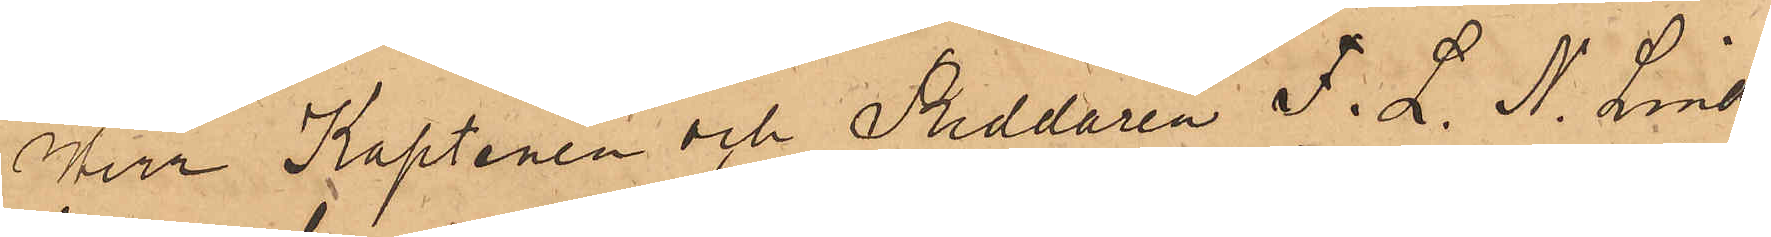Herr Kaptenen och Riddaren F. L. N. Lind¬
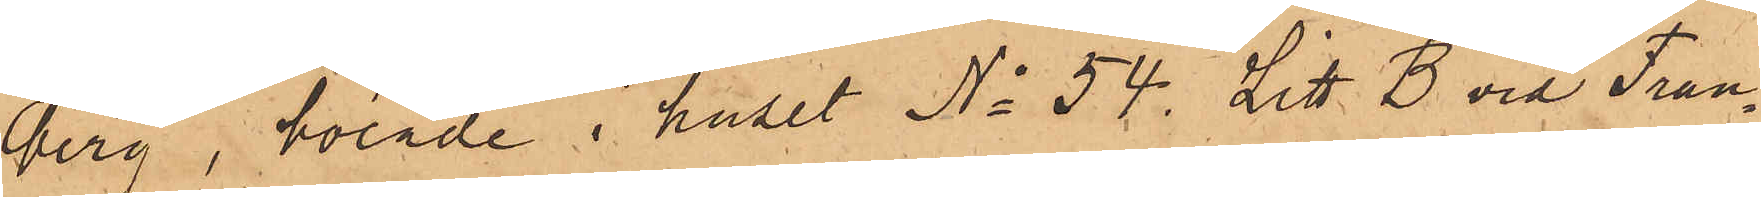berg, boende i huset No 54 Litt. B vid Fran¬
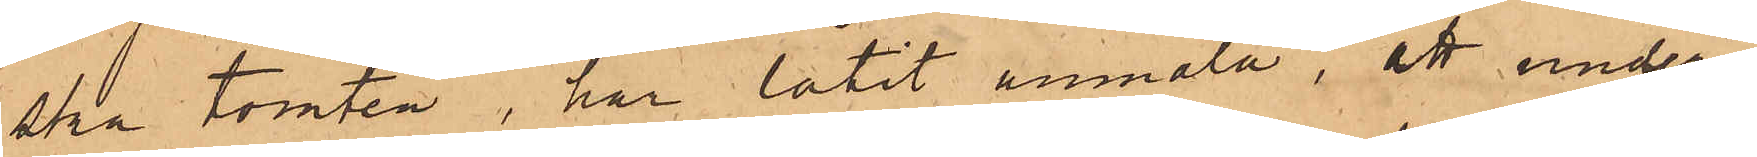ska tomten, har låtit anmäla, att under
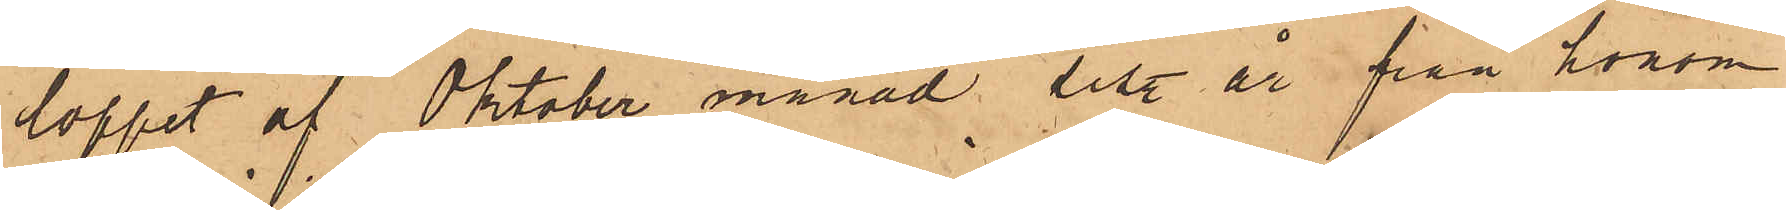loppet af Oktober månad sist. år från honom
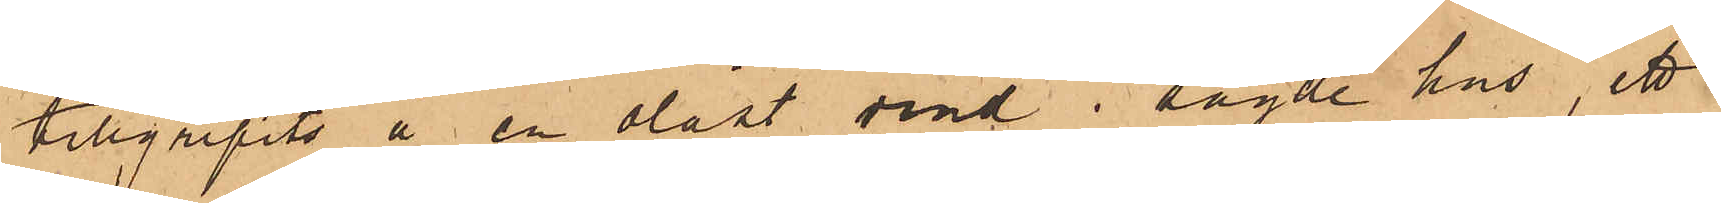tillgripits å en olåst vind i sagde hus, ett
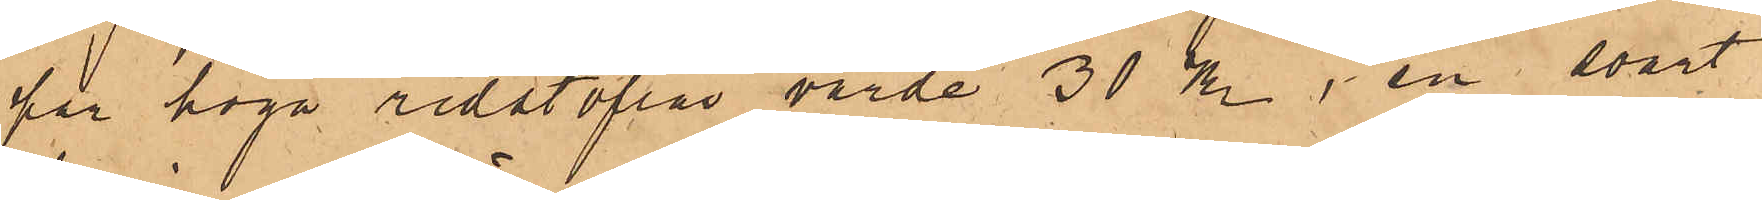par höga ridstöflar värde 30 kr, en svart
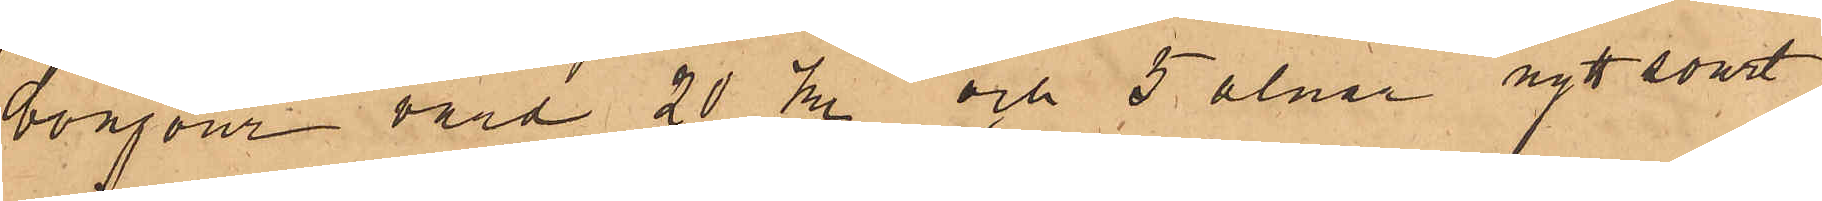bonjour värd 20 kr och 5 alnar nytt svart
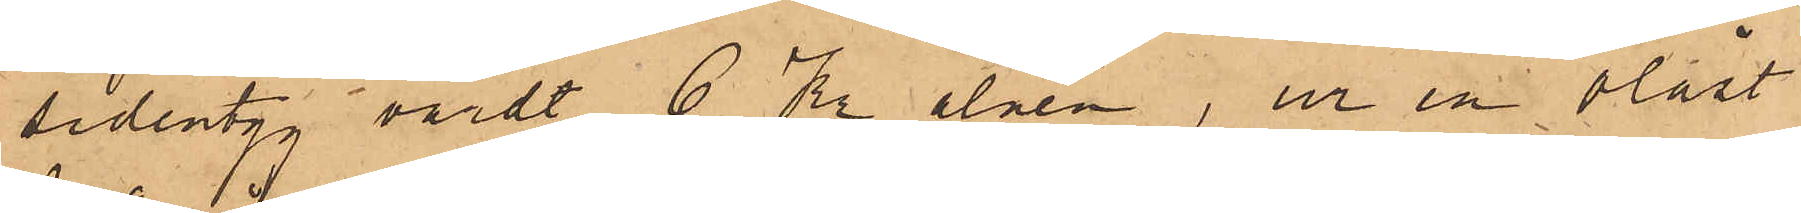sidentyg värdt 6 Kr alnen, ur en olåst
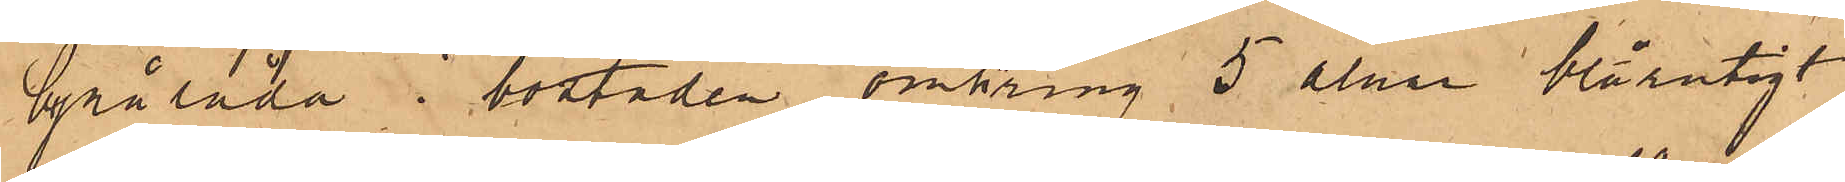byrålåda i bostaden omkring 5 alnar blårutigt
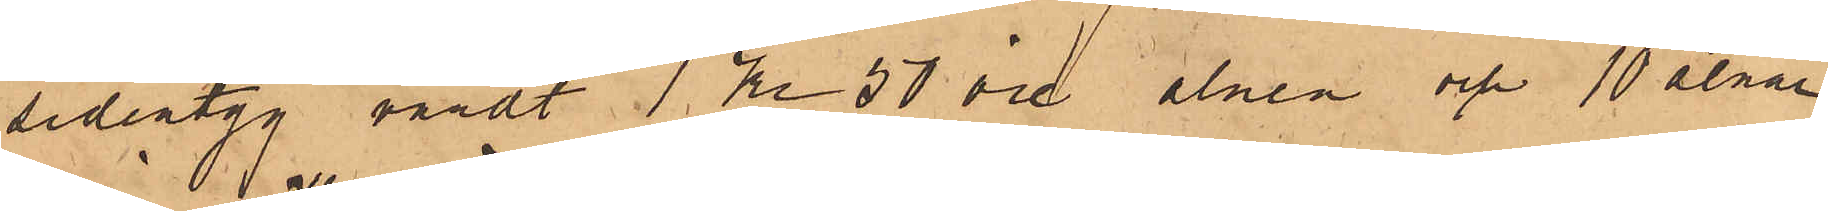sidentyg, värdt 1 Kr 50 öre alnen och 10 alnar
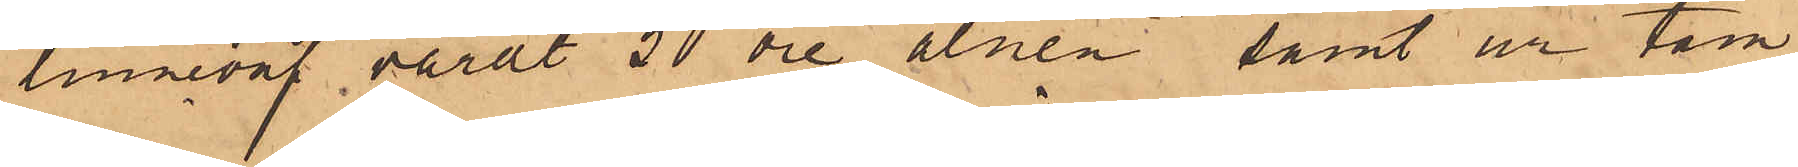linneväf, värdt 50 öre alnen samt ur tam¬
